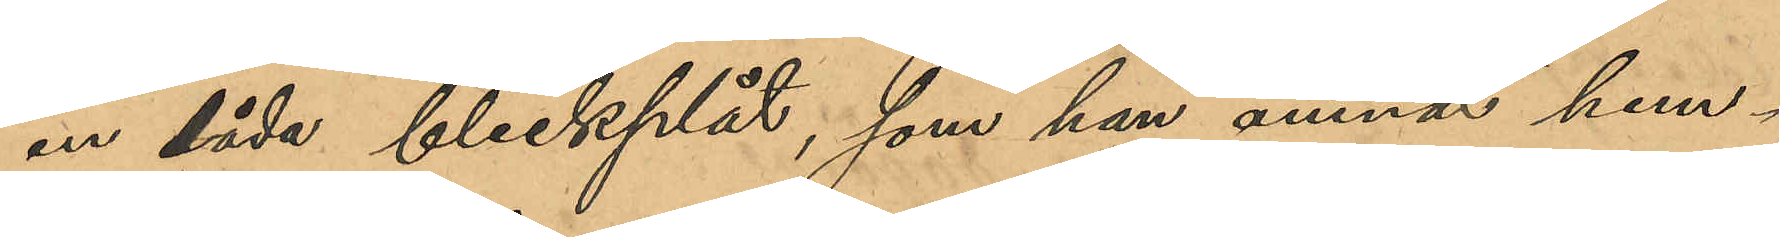en låda bleckplåt, som han ämnat hem¬
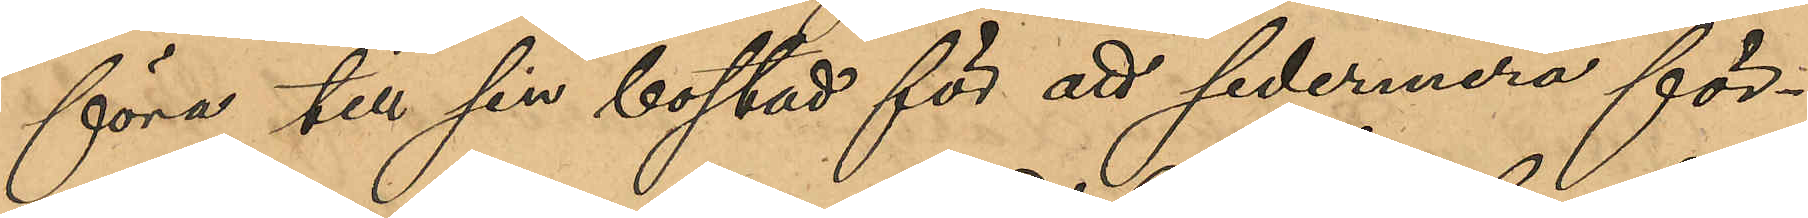föra till sin bostad för att sedermera för¬
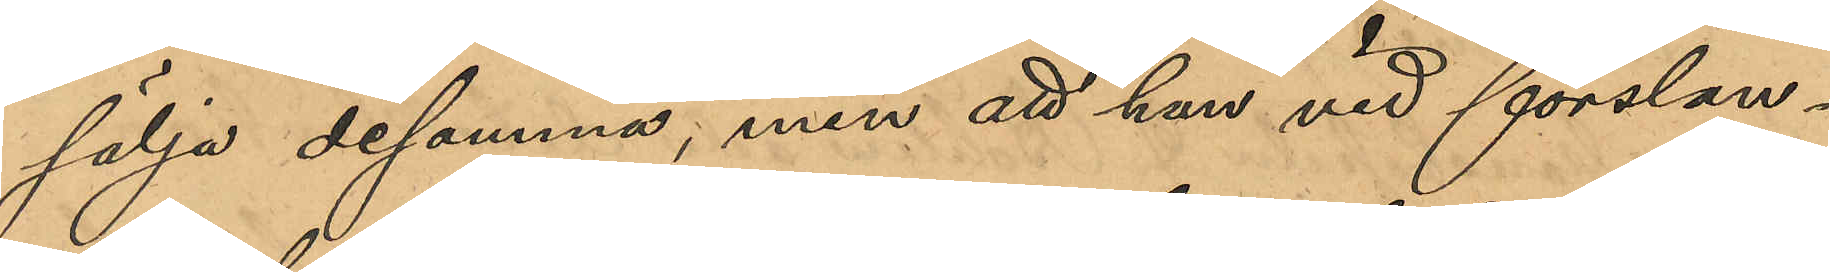sälja desamma, men att han vid forslan¬
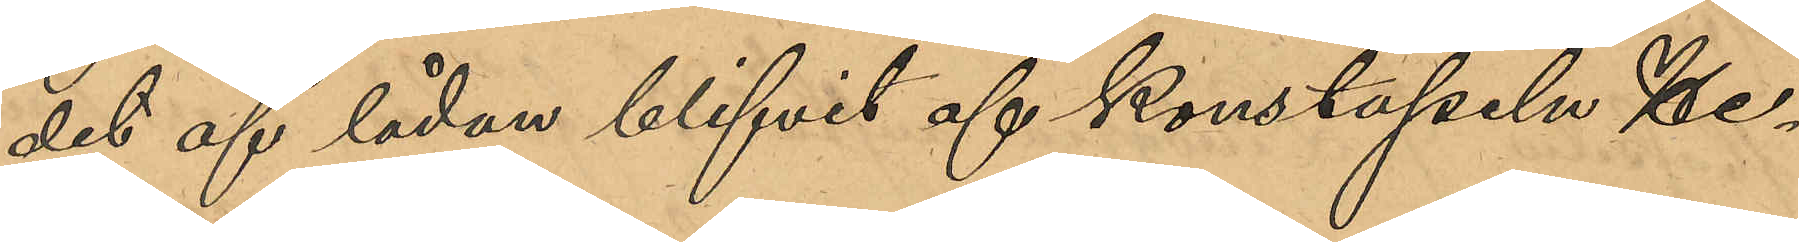det af lådan blifvit af konstapeln He¬
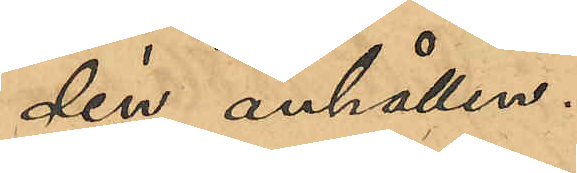din anhållen.
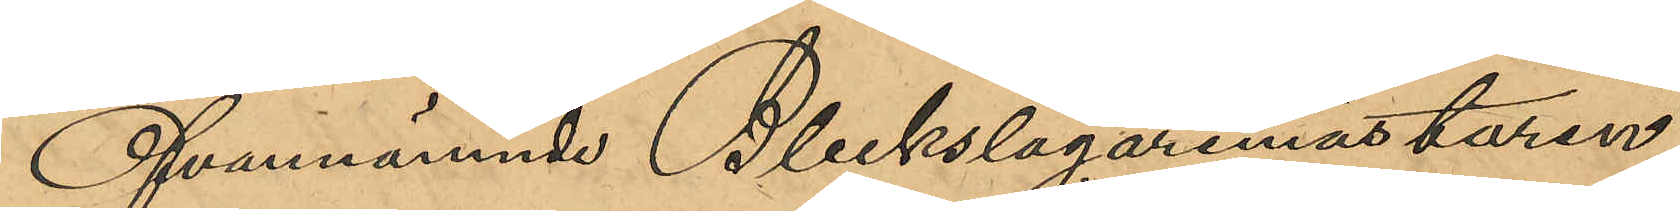Ofvannämnde Bleckslagaremästaren
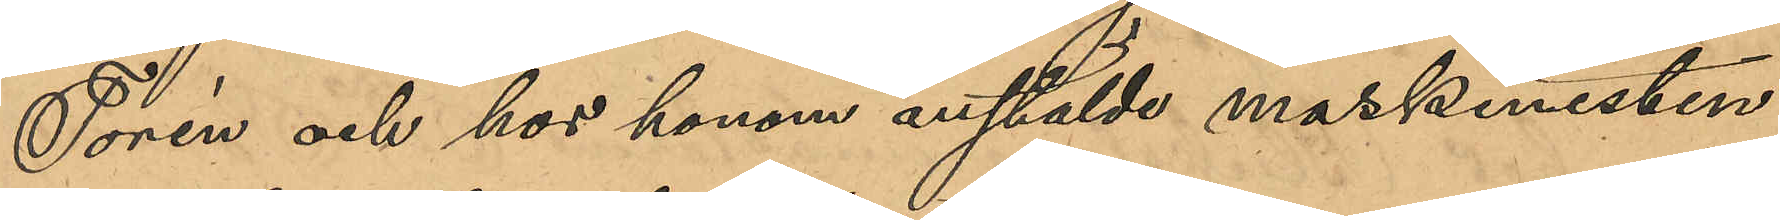Torén och hos honom anställde maskinisten
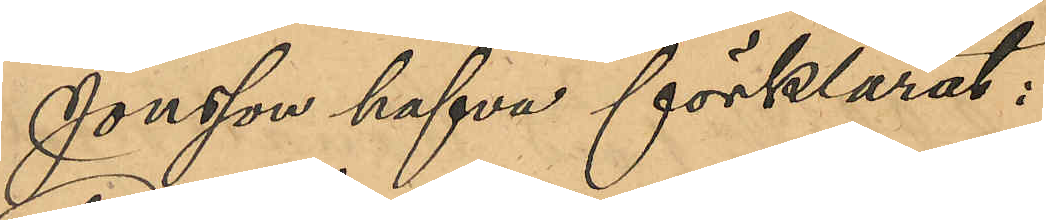Jonsson hafva förklarat:
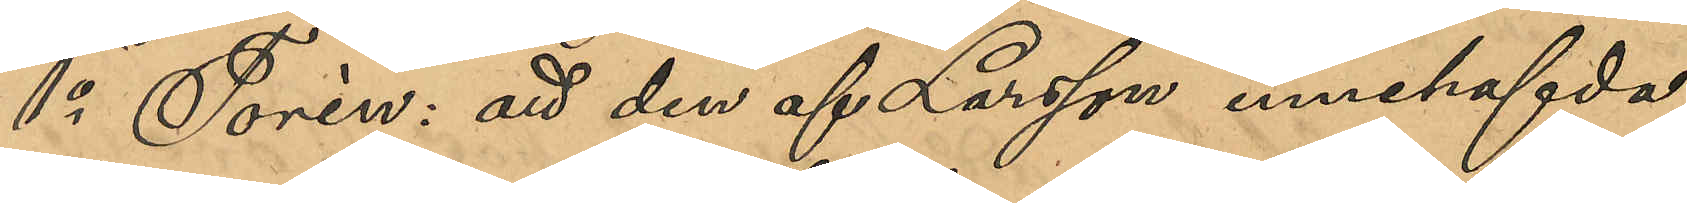1o Torén: att den af Larsson innehafvda
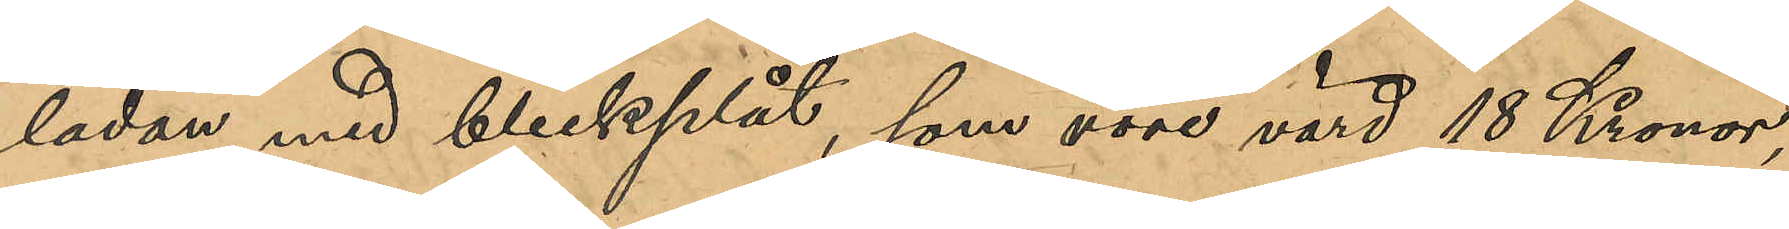lådan med bleckplåt, som vore värd 18 Kronor,
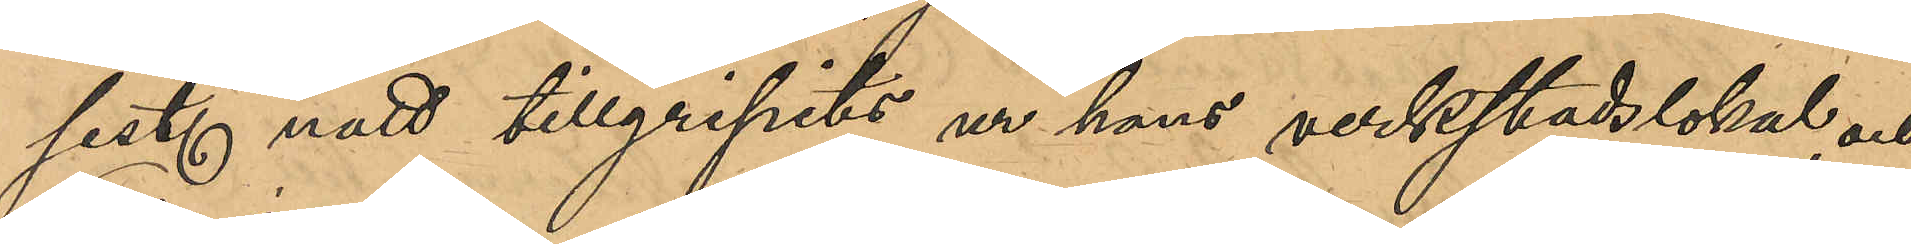sist. natt tillgripits ur hans verkstadslokal, och
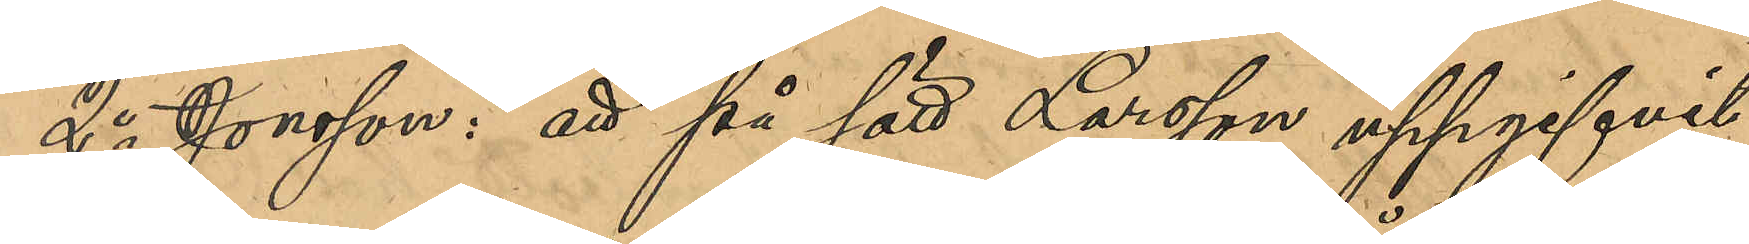2o Jonsson: att på sätt Larsson uppgifvit,
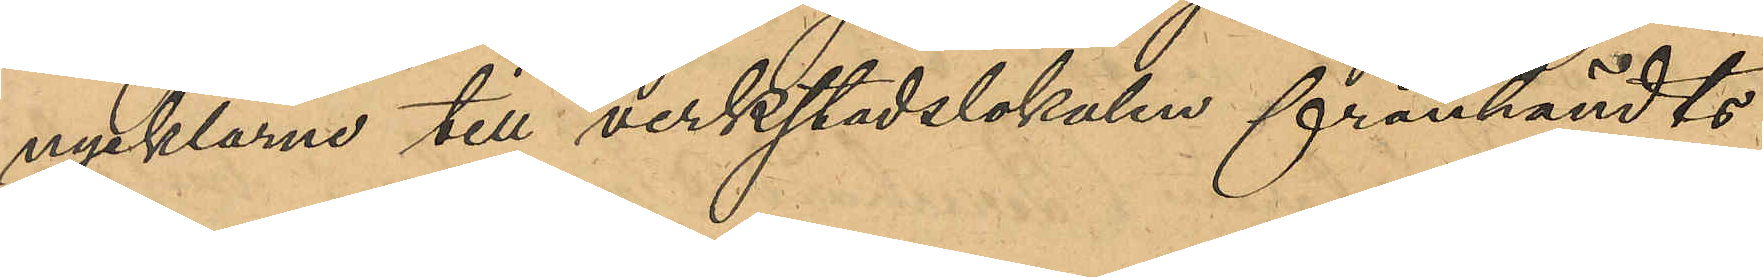nycklarna till verkstadslokalen frånhändts
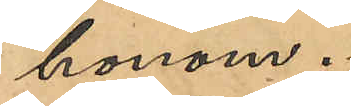honom.
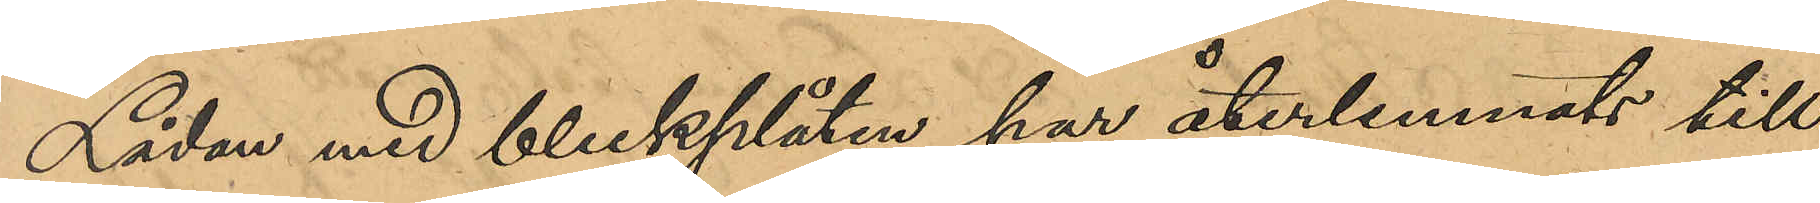Lådan med bleckplåten har återlemnats till
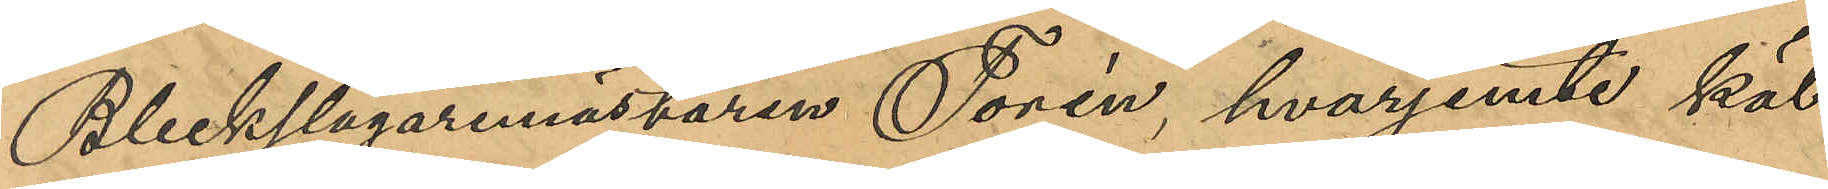Bleckslagaremästaren Torén, hvarjemte käl¬
